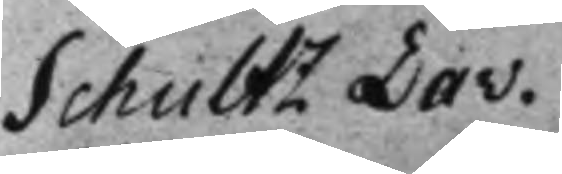Schultz Dav.
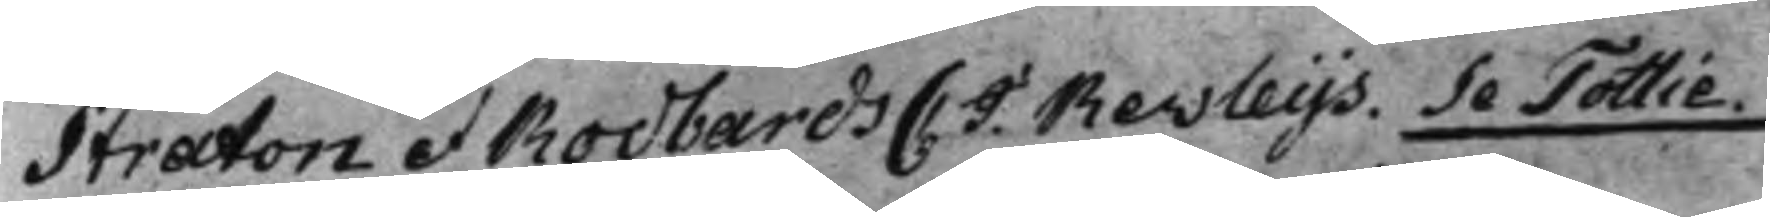Straton et Rodbards C. J. Revleys. Se Tottie.
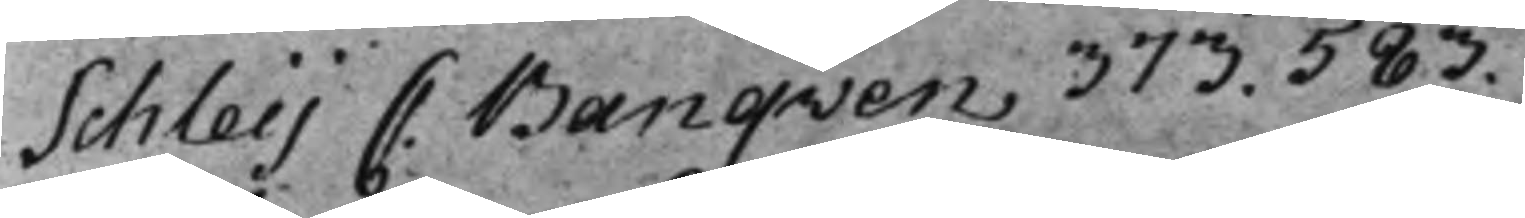Schleij C. Banqven, 373. 583.
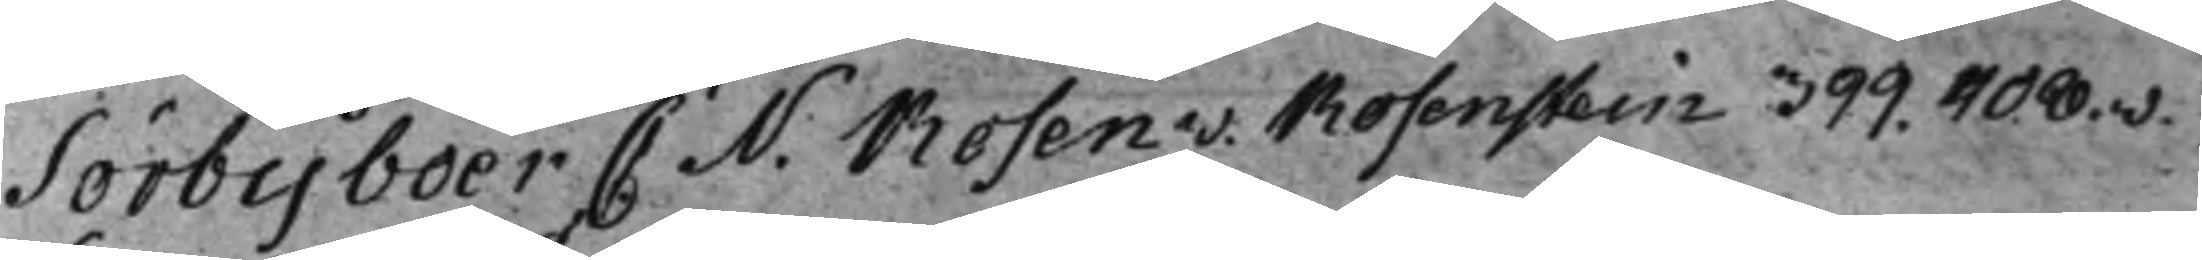Sörbyboer C. N. Rosen v. Rosenstein 399. 408.v.
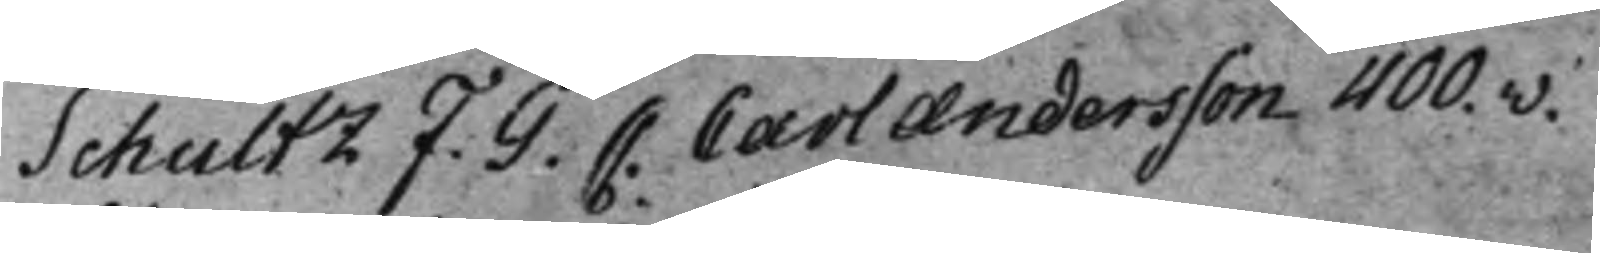Schultz F. G. C. Carl Andersson 400.v.
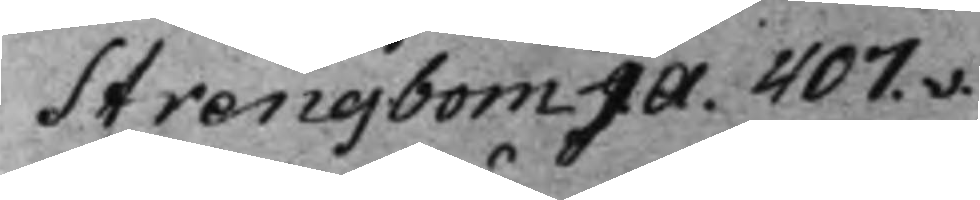Strengbom J. A. 407v.
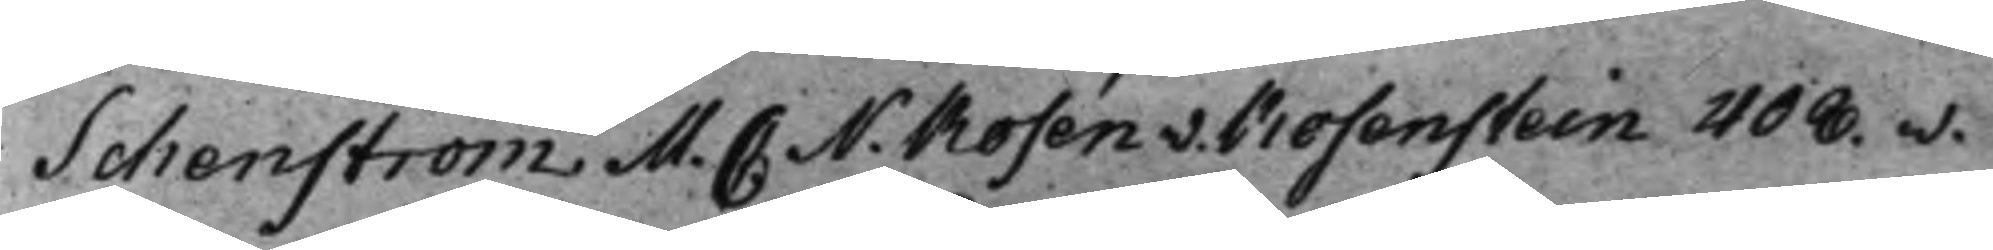Schenström M. C: N. Rosén v. Rosenstein 408.v.
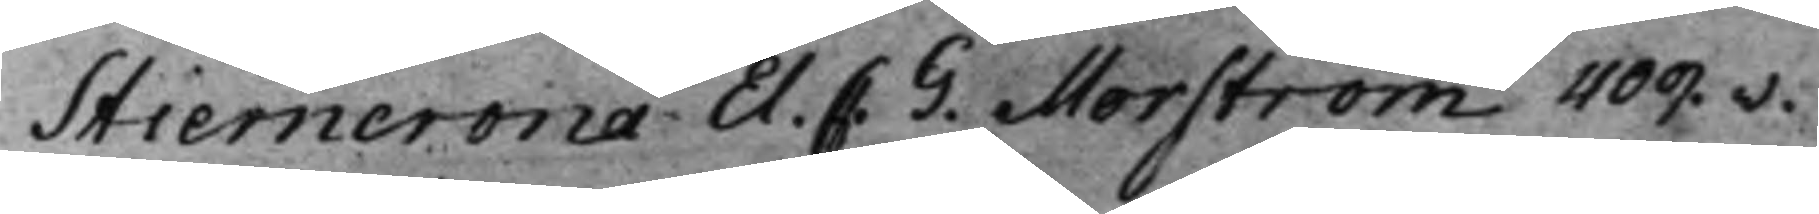Stierncrona El. C. G. Morström 409.v.
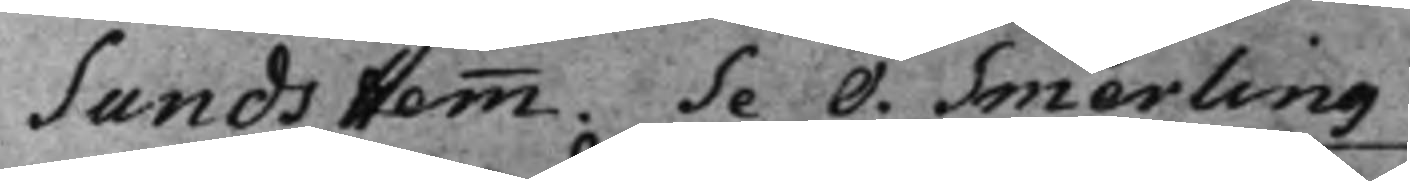Sunds Hemm. Se O. Smerling
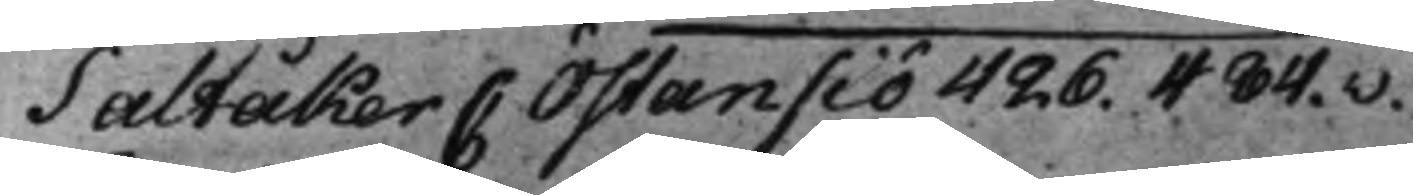Saltåker C: Östansiö 426. 484.v.
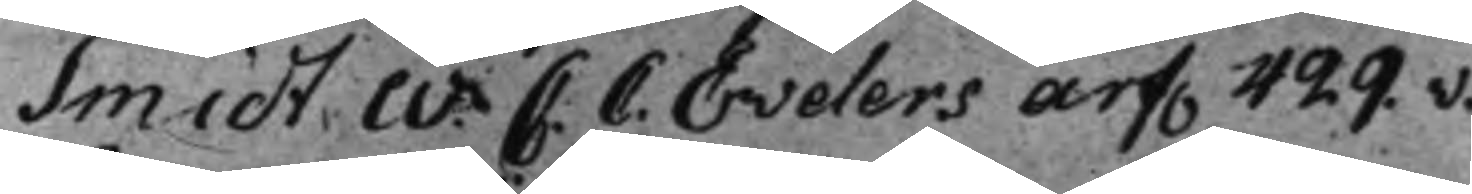Smidt W C. C. Evelers Arf. 429.v.
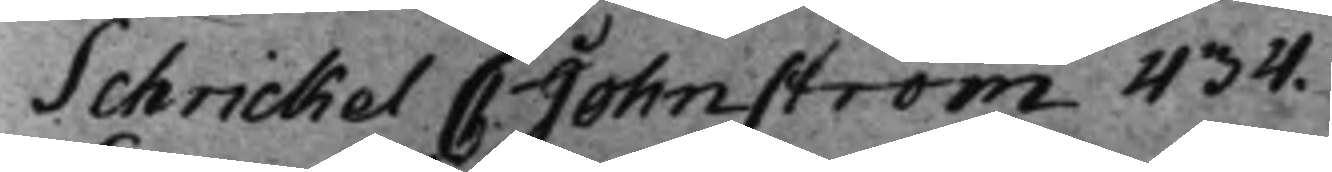Schrickel C. Johnström 434.
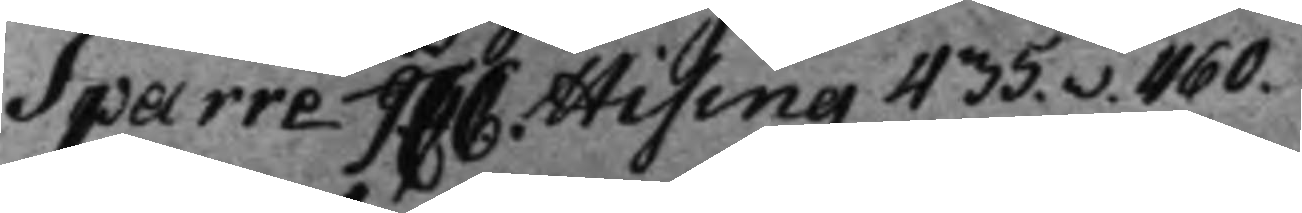Sparre J. C C. Hising 435.v. 460.
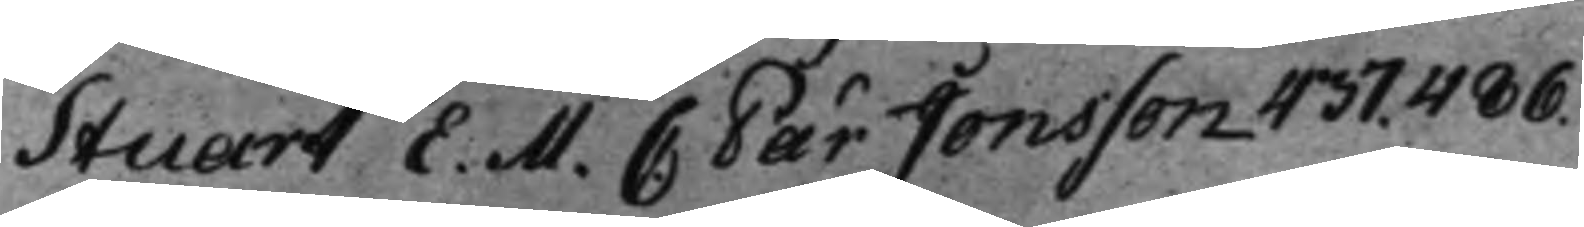Stuart E. M. C: Pär Jonsson 437. 486.
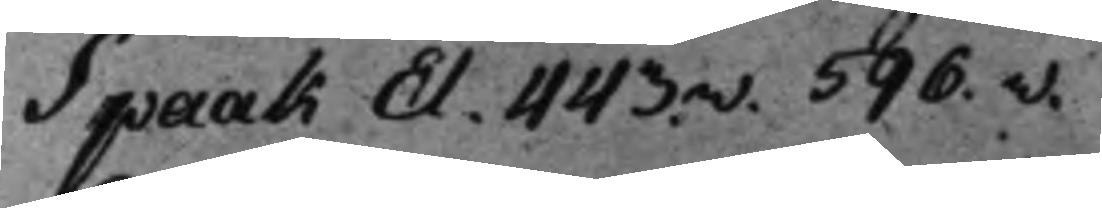Spaak El. 443v. 596.v.
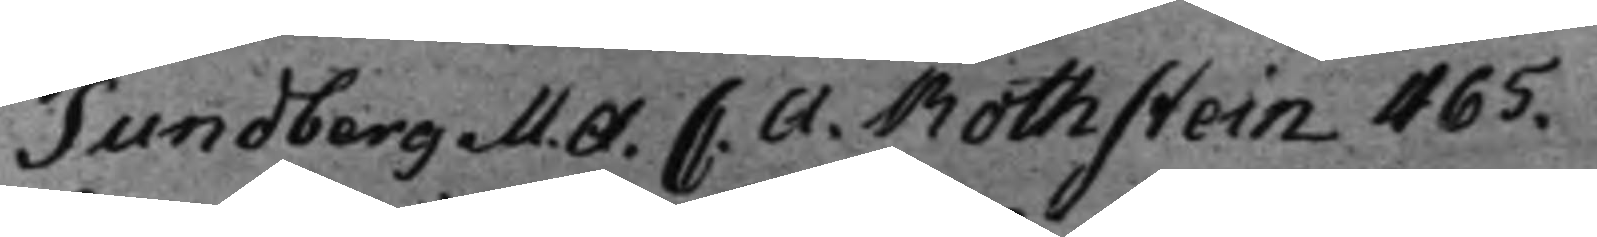Sundberg M. A. C. A. Rothstein 465.
